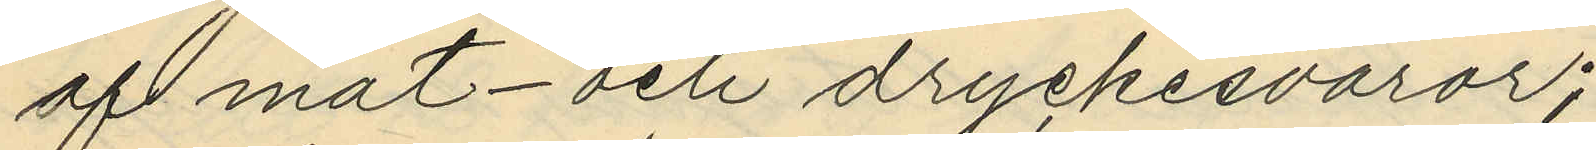af mat- och dryckesvaror;
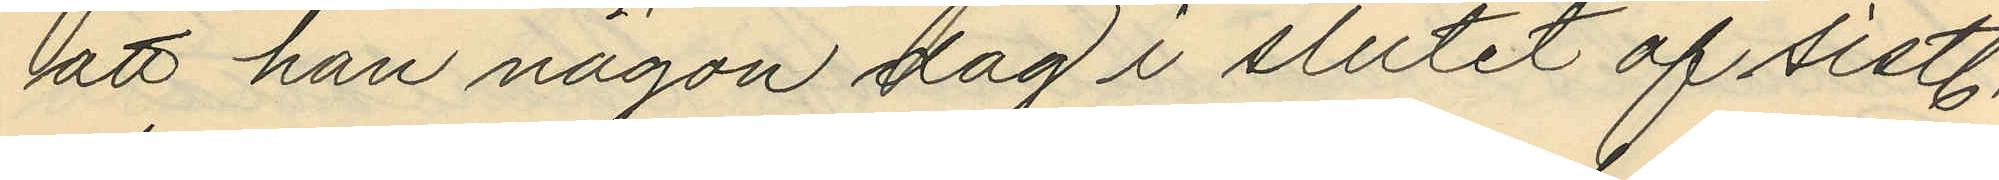att han någon dag i slutet af sistl.
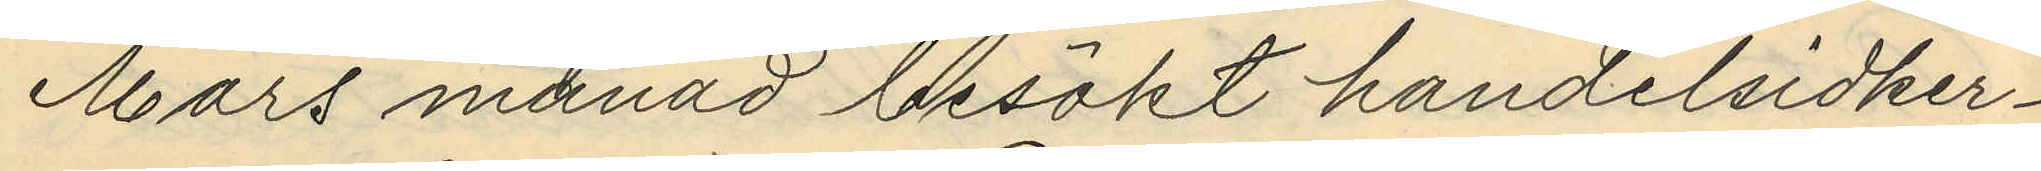Mars månad besökt handelsidker¬
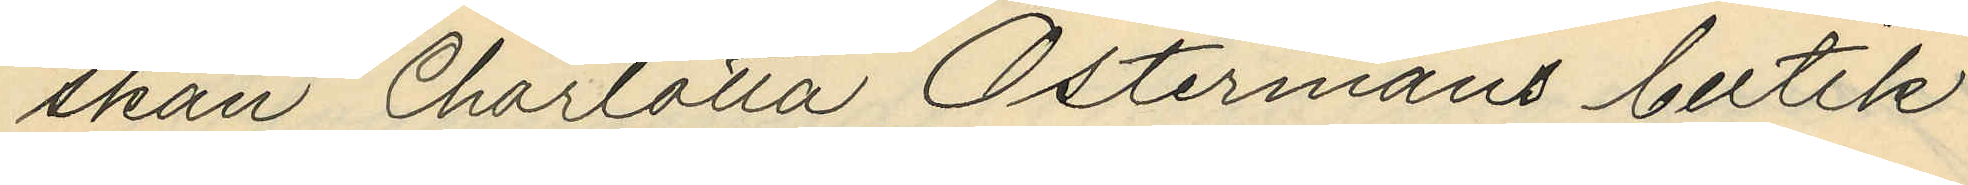skan Charlotta Östermans butik
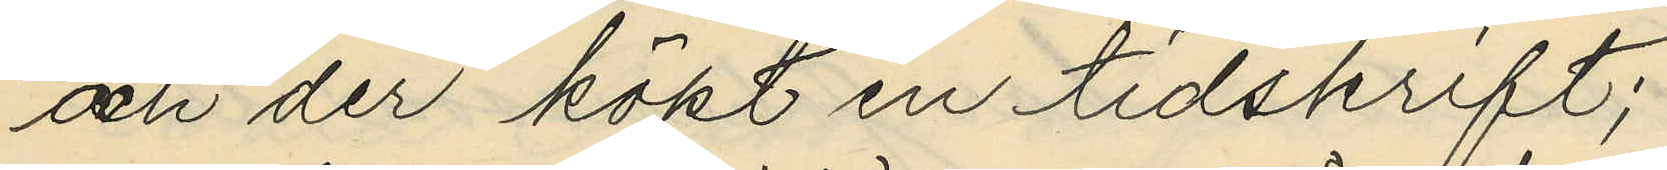och der köpt en tidskrift;
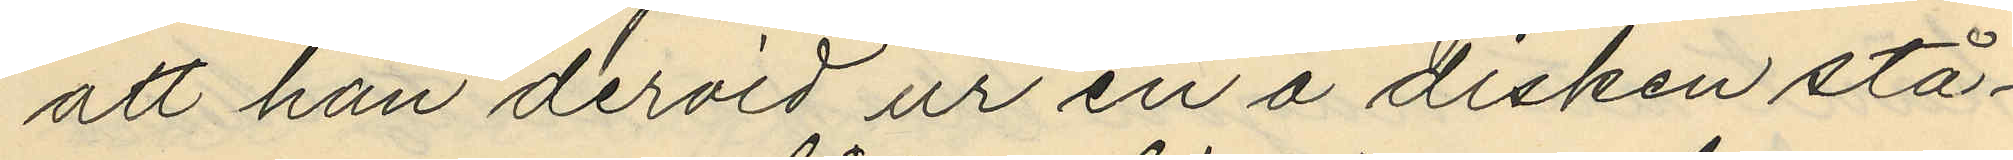att han dervid ur en å disken stå¬
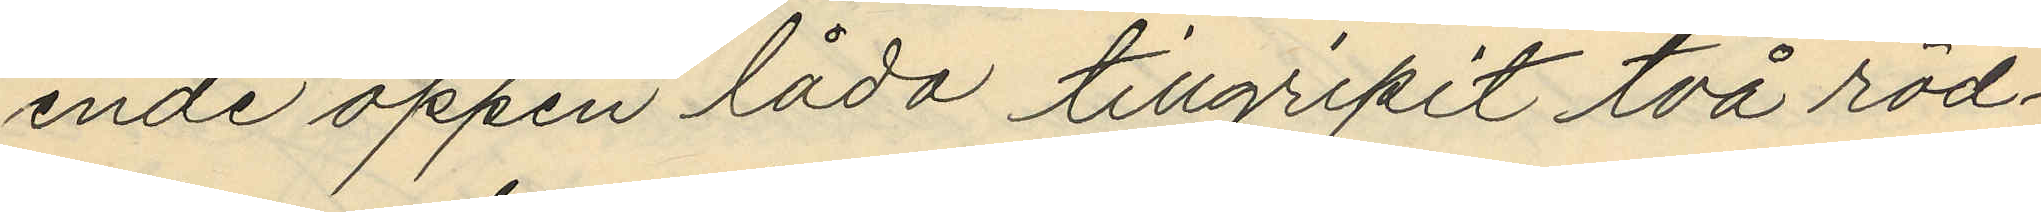ende öppen låda tillgripit två röd¬
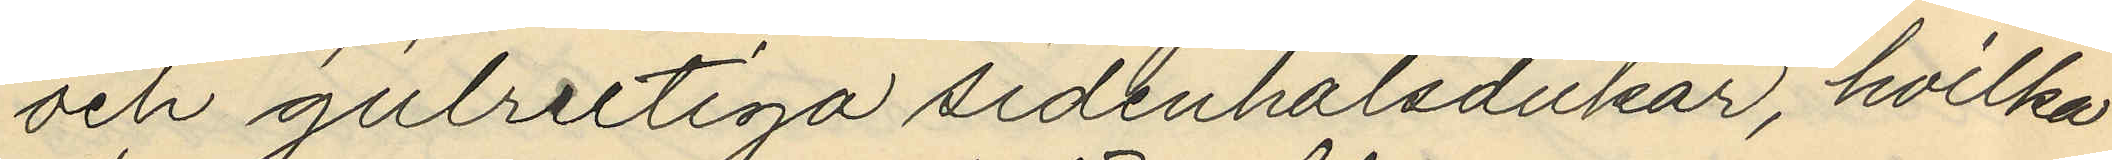och gulrutiga sidenhalsdukar, hvilka
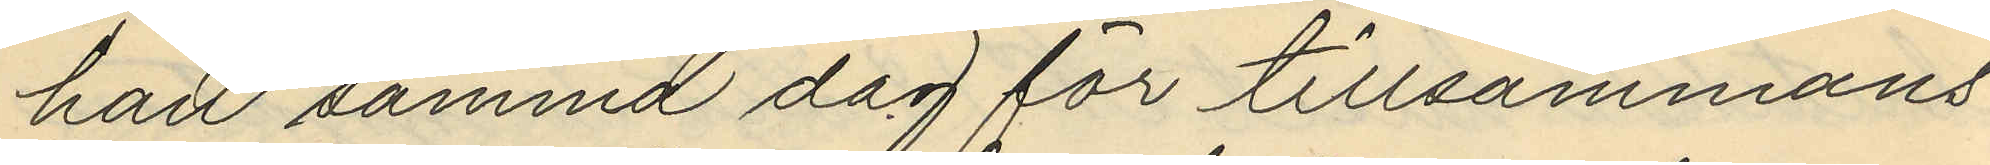han samma dag för tillsammans
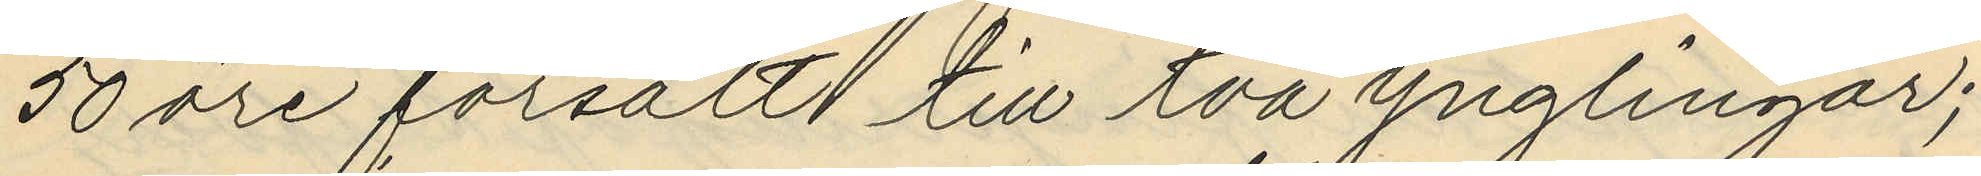50 öre försålt till två ynglingar;
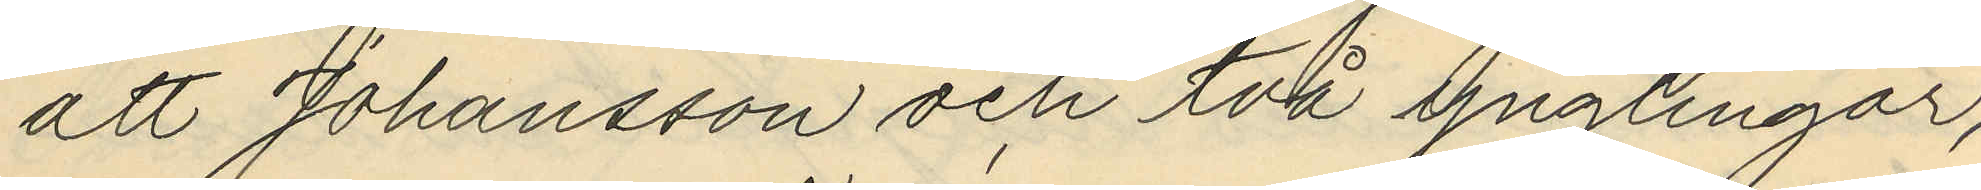att Johansson och två Ynglingar,
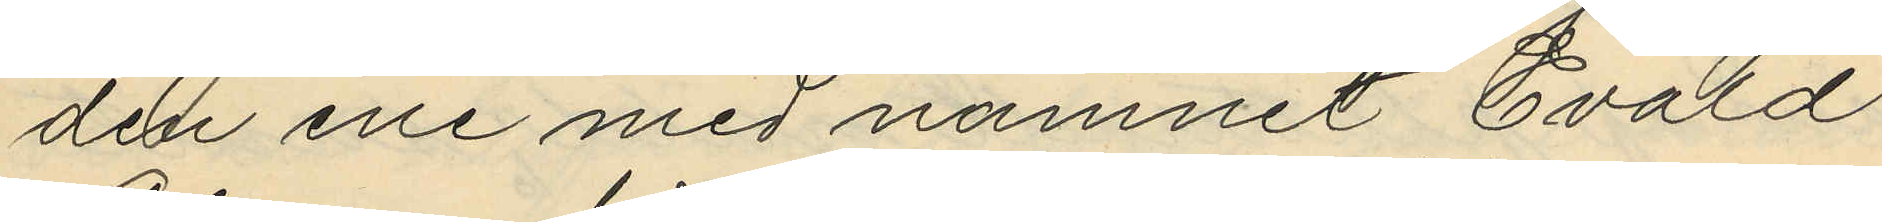den ene med namnet Evald
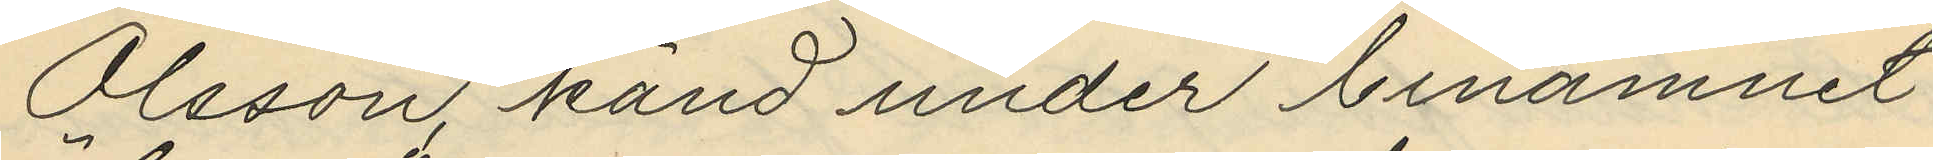Olsson, känd under binamnet
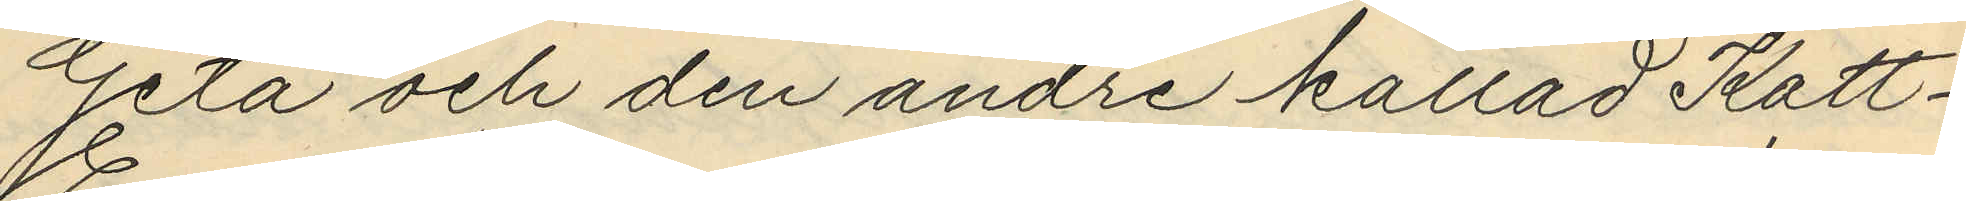"Geta" och den andre kallad Katt-
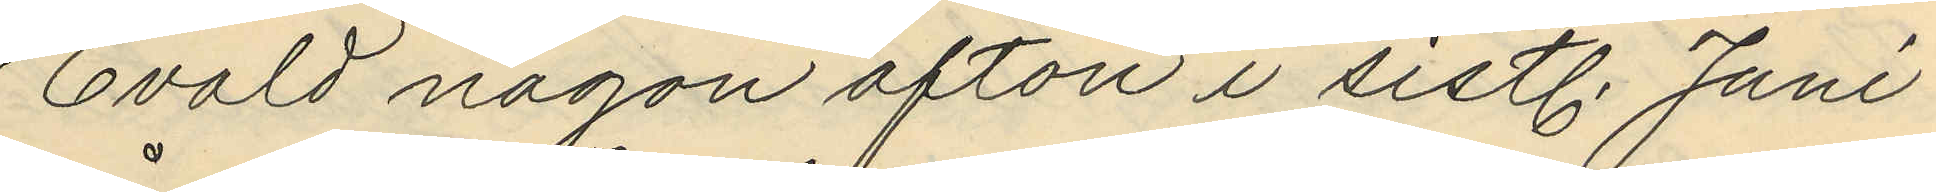Evald någon afton i sistl. Juni
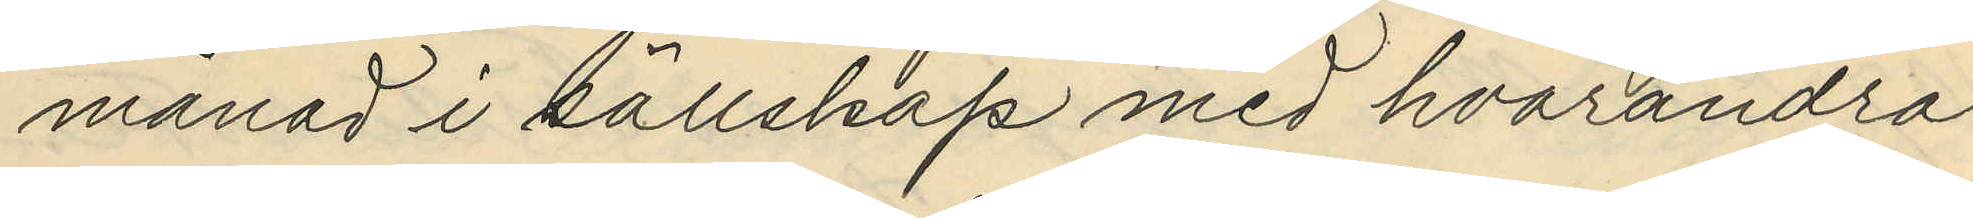månad i sällskap med hvarandra
